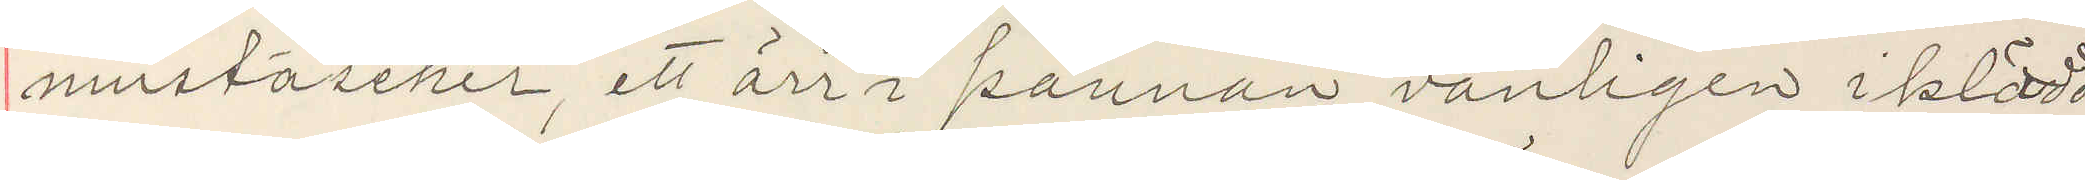mustascher, ett ärr i pannan, vanligen iklädd
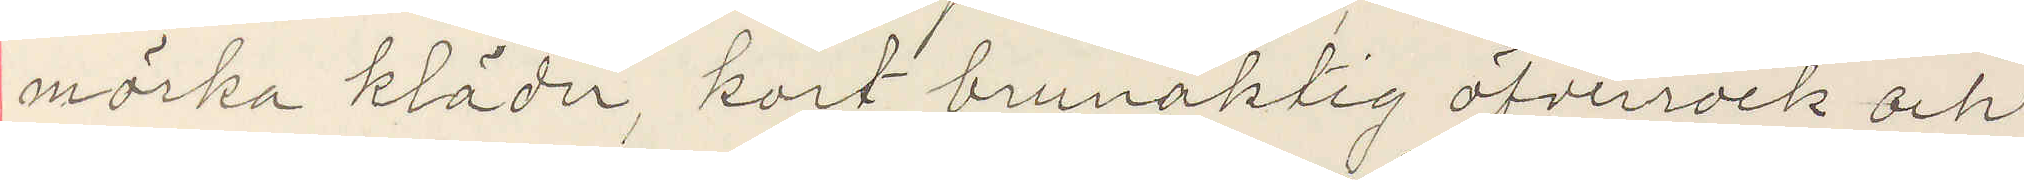mörka kläder, kort brunaktig öfverrock och
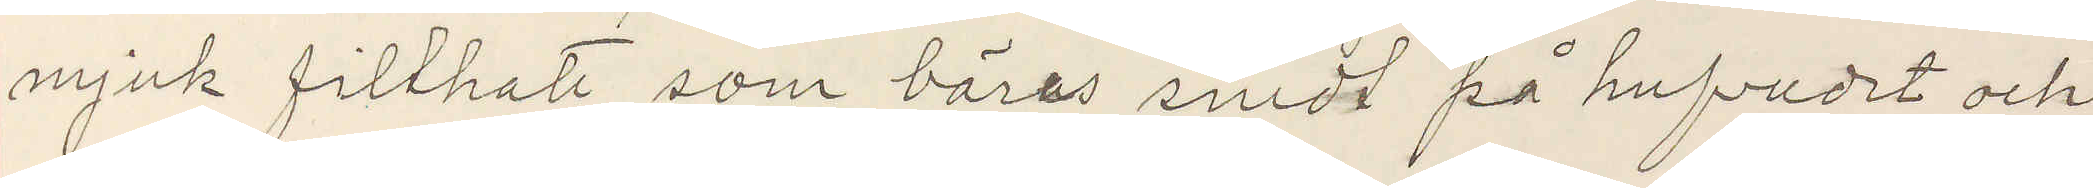mjuk filthatt, som bäres snedt på hufvudet och
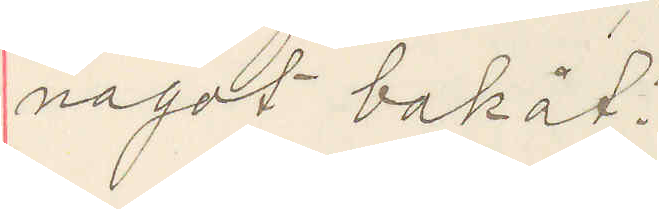nagot bakåt.
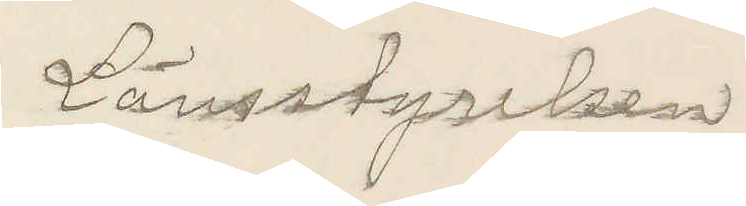Länsstyrelsen
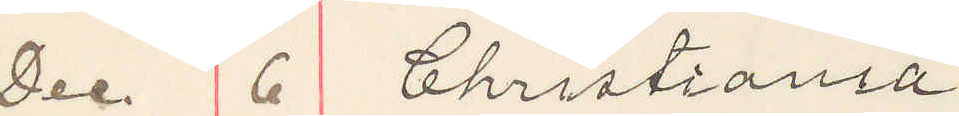Dec. 6 Christiania
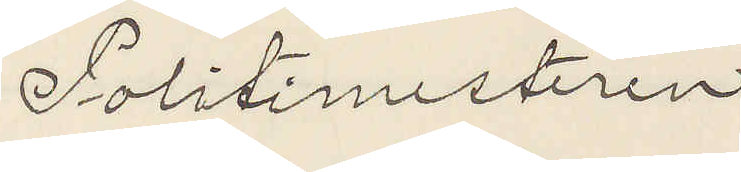Politimesteren
